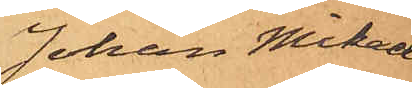Johan Mikael
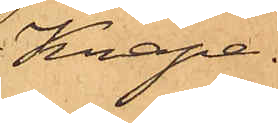Knape.
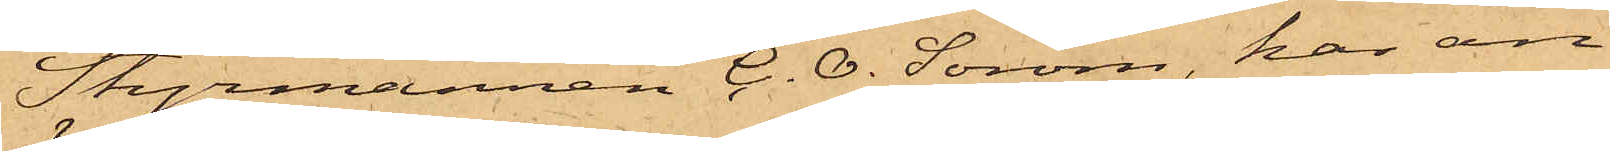Styrmannen C. O. Sörom, har an¬
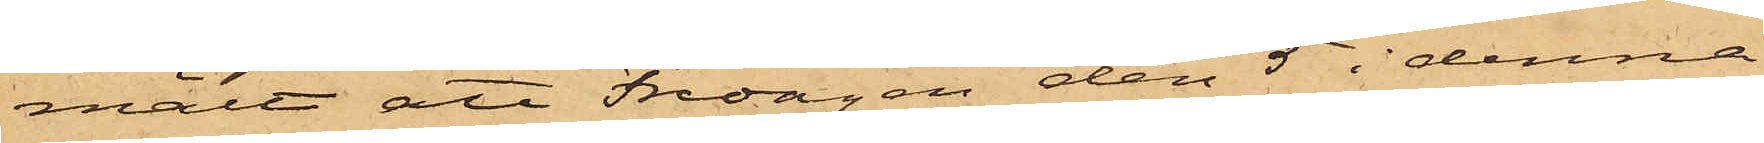mält att Fredagen den 5 i denna
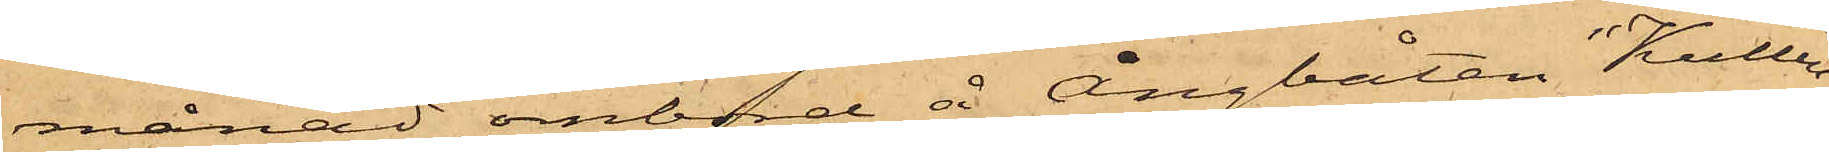månad ombord å ångbåten "Kullen",
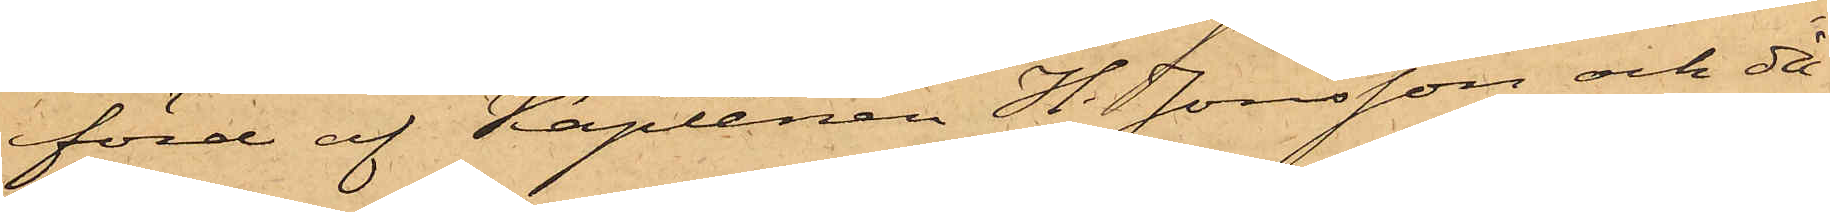förd af Kaptenen H. Jonsson och då
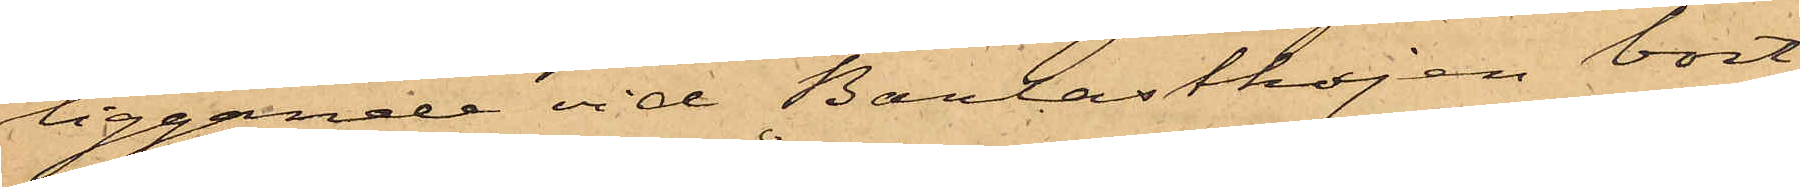liggande vid Barlastkajen bort¬
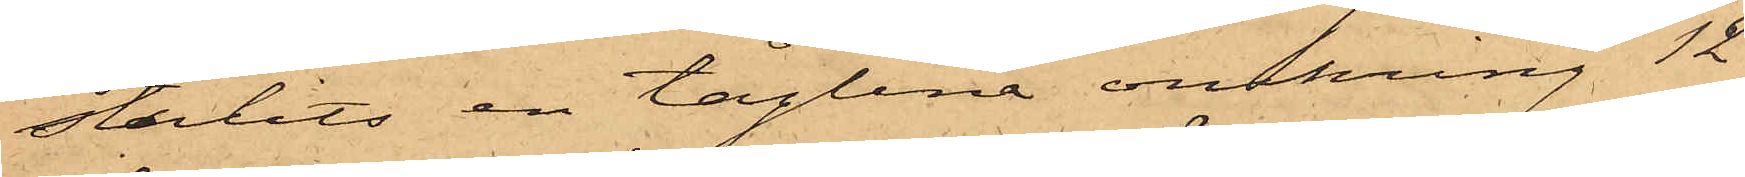stulits en tåglina omkring 12
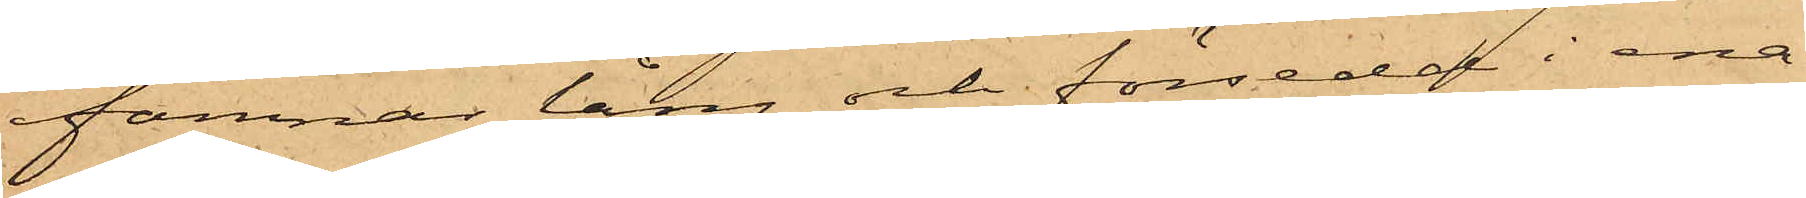famnar lång och försedd i ena
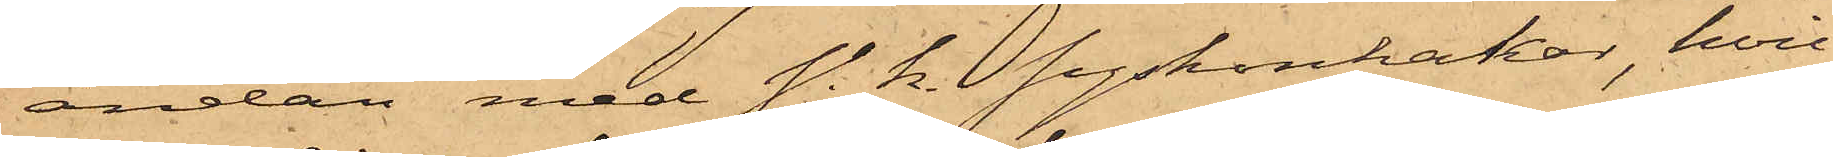ändan med s. k. syskonhakar, hvil¬
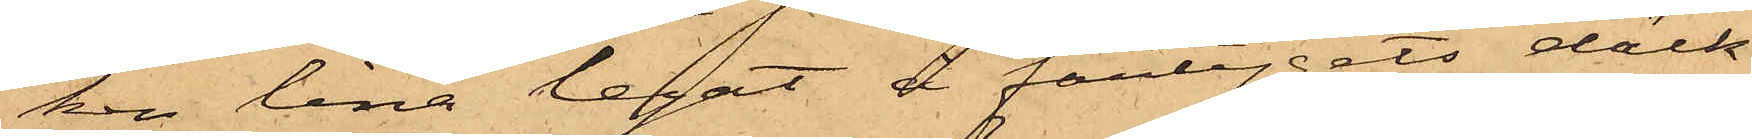ken lina legat å fartygets däck.
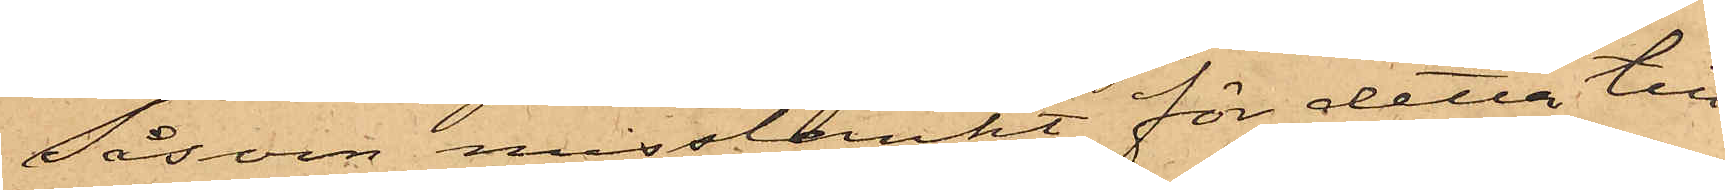Såsom misstänkt för detta till¬
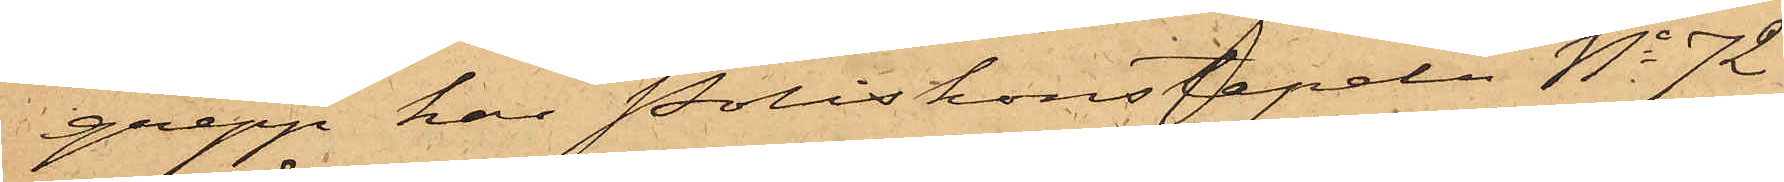grepp har Poliskonstapeln No 72
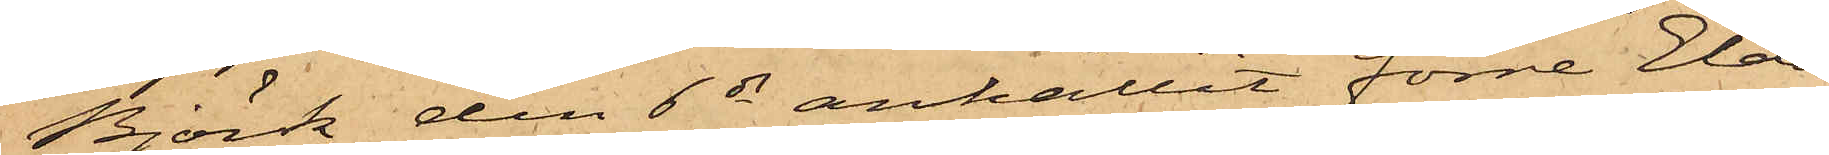Björk den 6 ds anhållit förre Elda¬
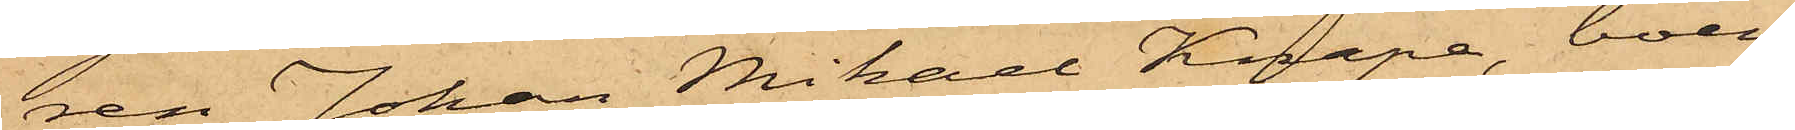ren Johan Mikael Knape, boen¬
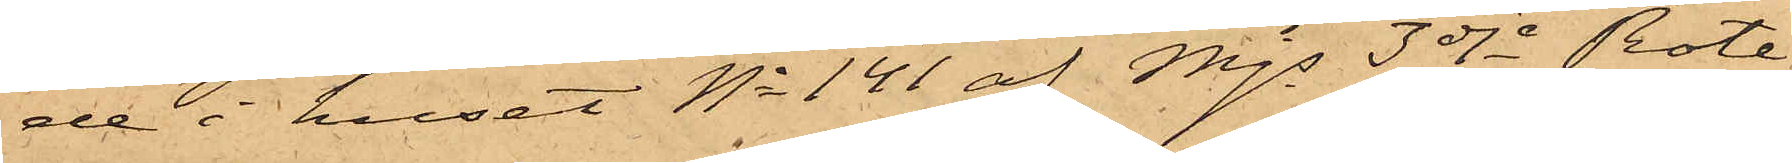de i huset No 141 af Mjs 3dje Rote,
